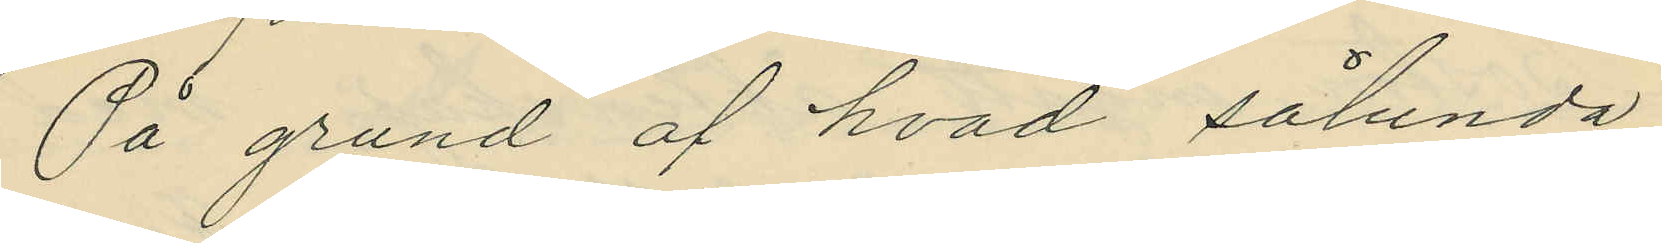På grund af hvad sålunda
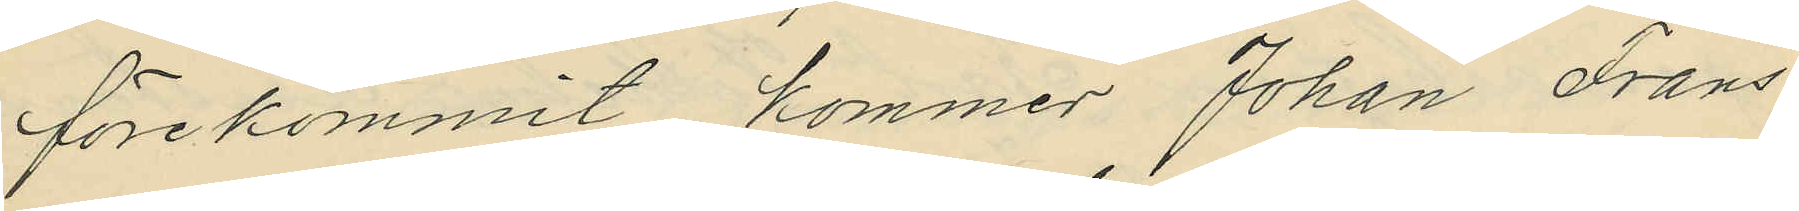förekommit, kommer Johan Frans
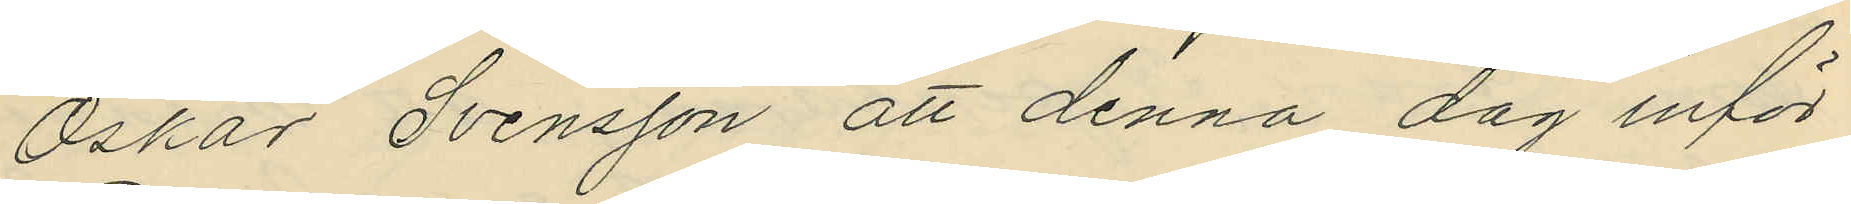Oskar Svensson att denna dag inför
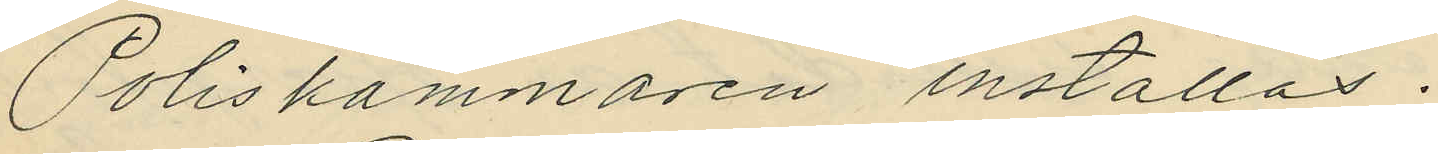Poliskammaren inställas.
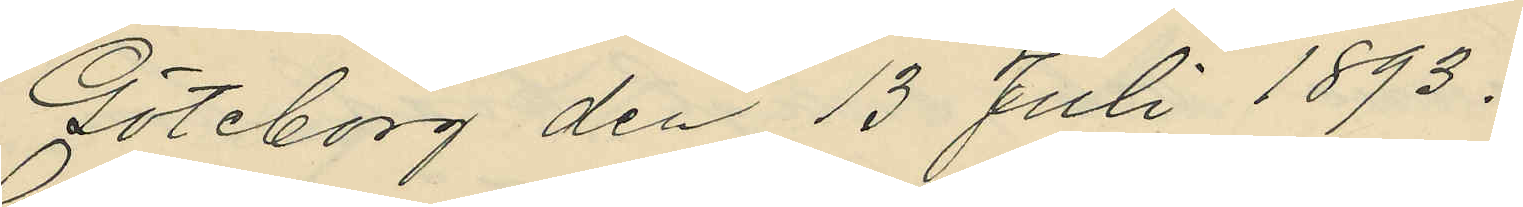Göteborg den 13 Juli 1893.
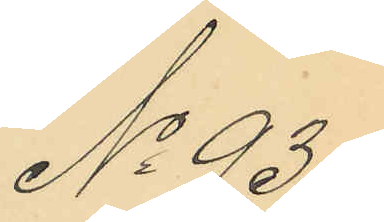No 93.
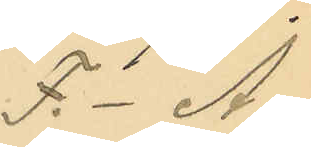F.- A.
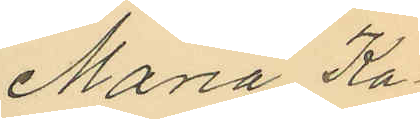Maria Ka¬
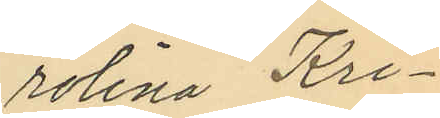rolina Kri¬
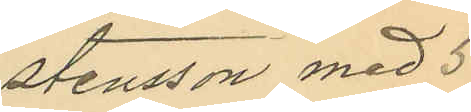stensson med 5
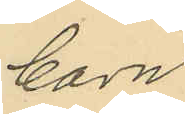barn.
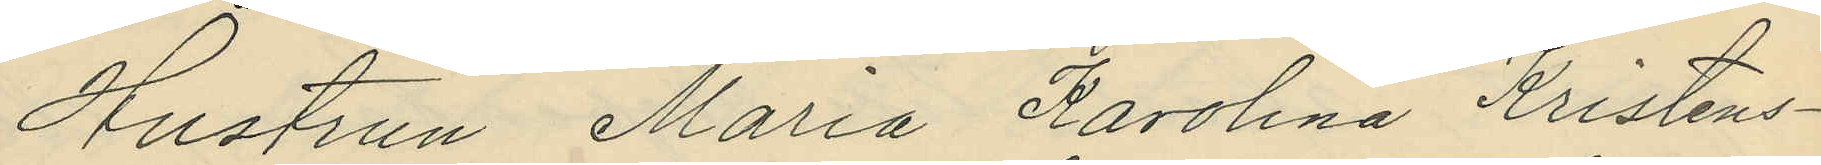Hustrun Maria Karolina Kristens¬
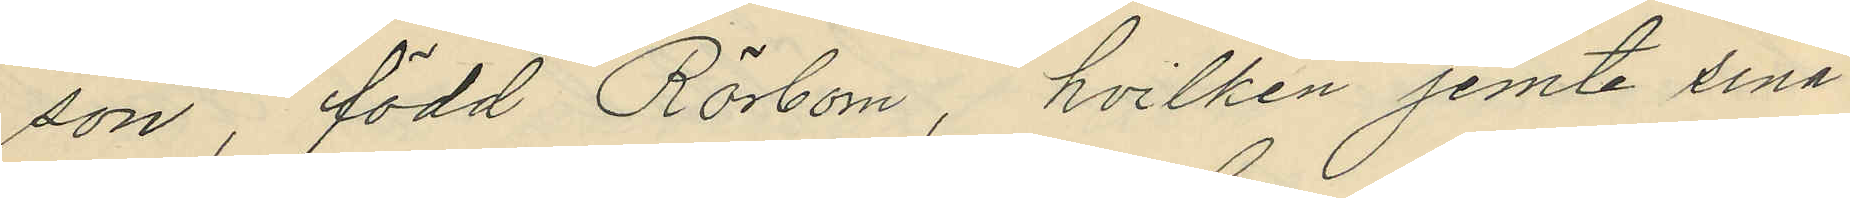son, född Rörbom, hvilken jemte sina
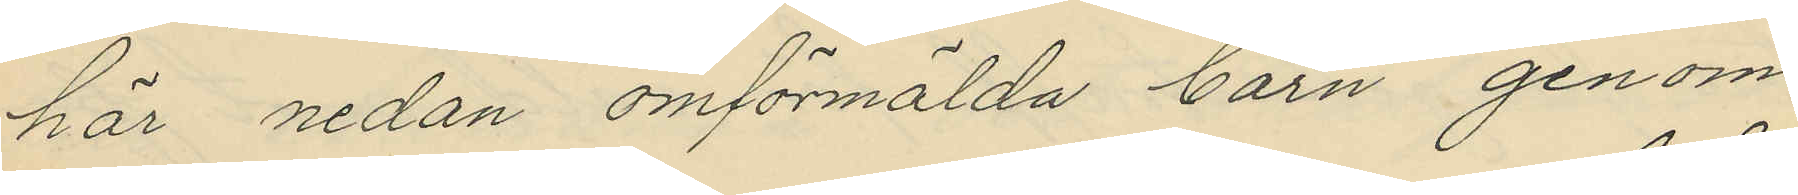här nedan omförmälda barn genom
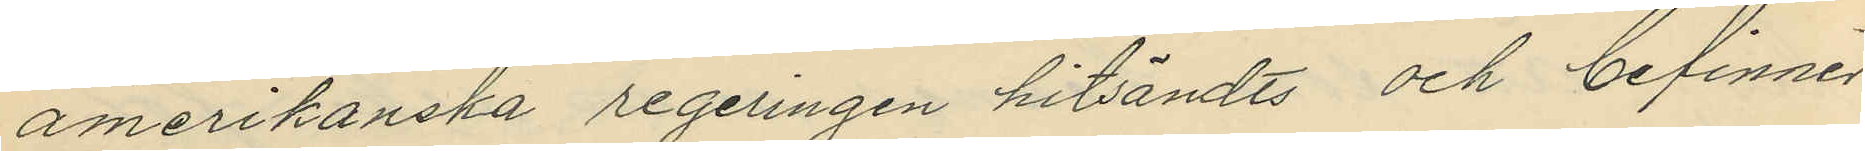amerikanska regeringen hitsändts och befinner
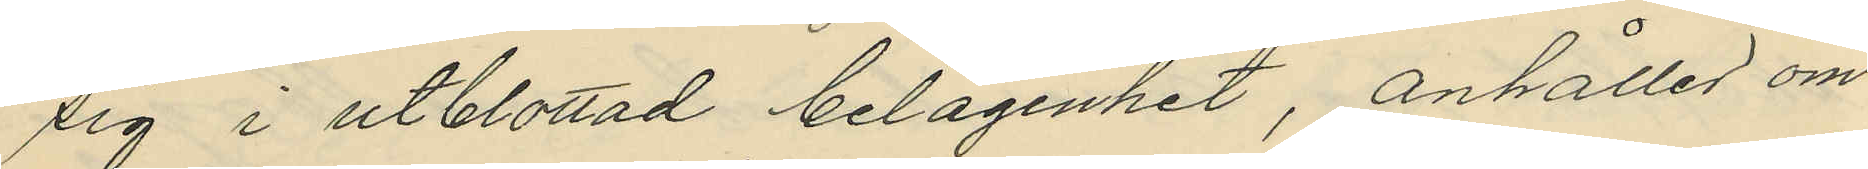sig i utblottad belägenhet, anhåller om
